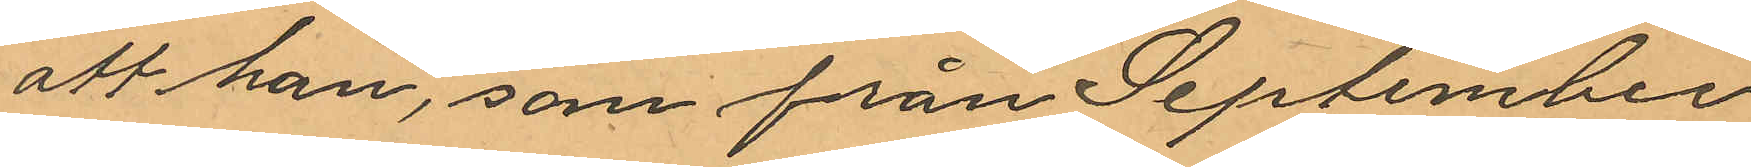att han, som från September
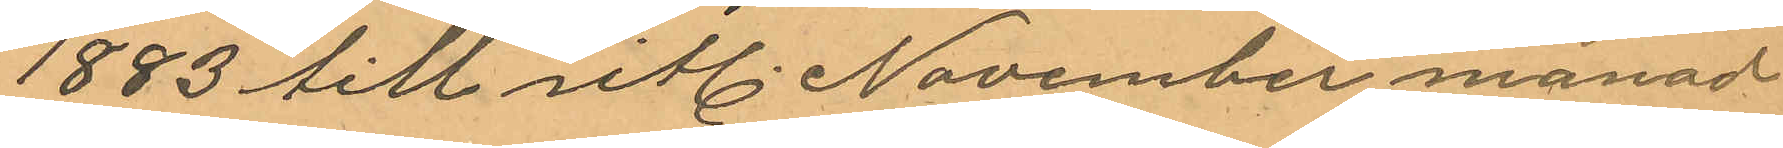1883 till sitl. November månad
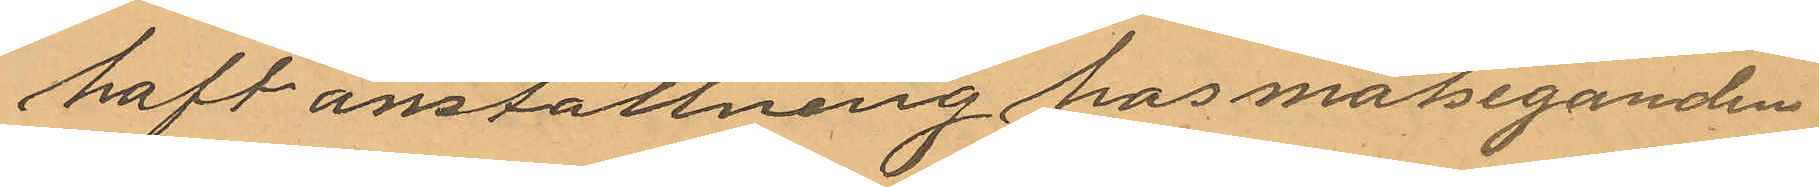haft anställning hos målseganden
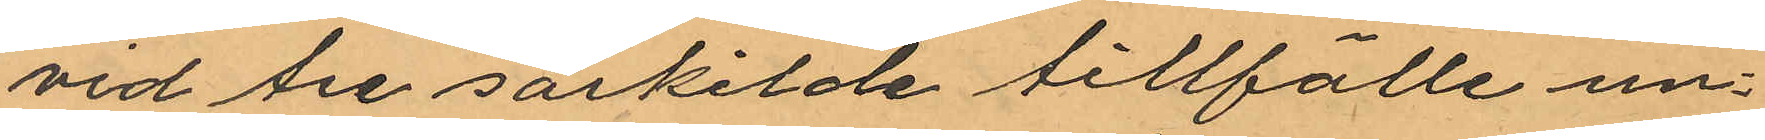vid tre säskilde tillfälle un¬
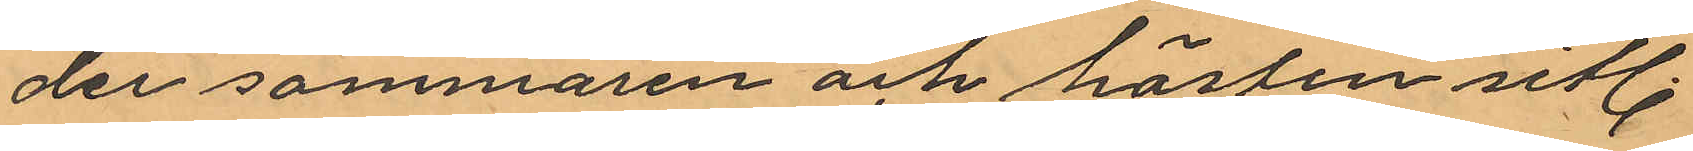der sommaren och hösten sistl.
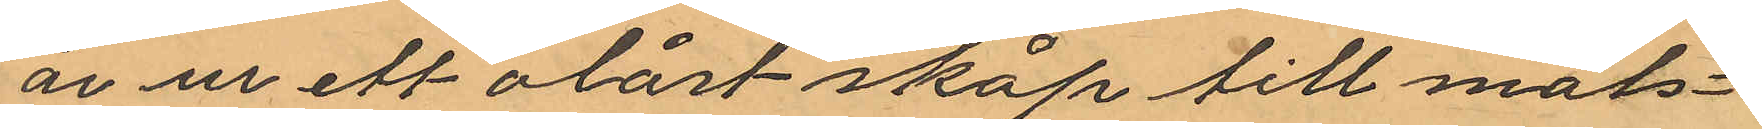år ur ett olåst skåp till måls¬
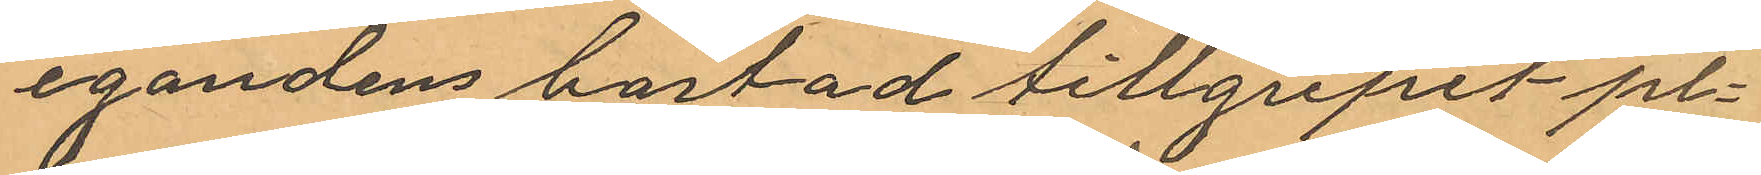egandens bostad tillgripit pl¬
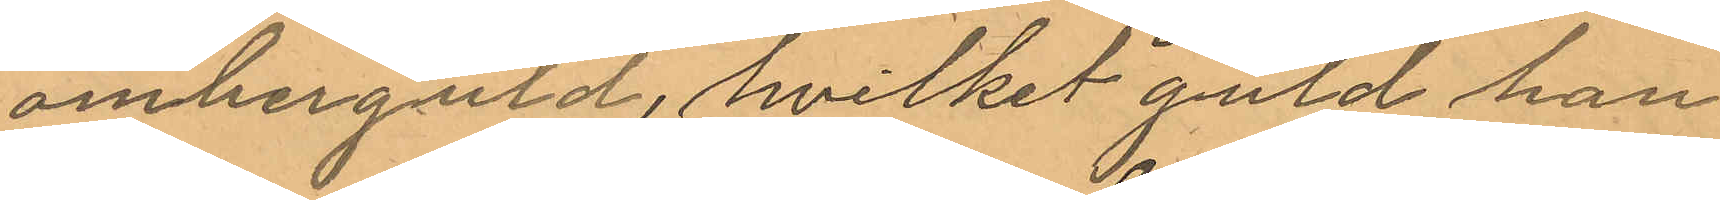omberguld, hvilket guld han
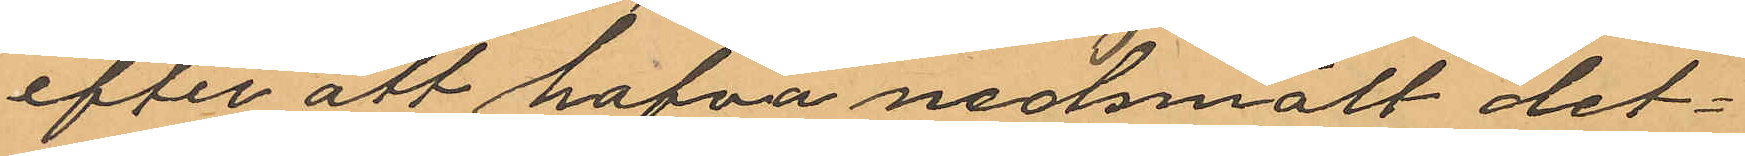efter att hafva nedsmält det¬
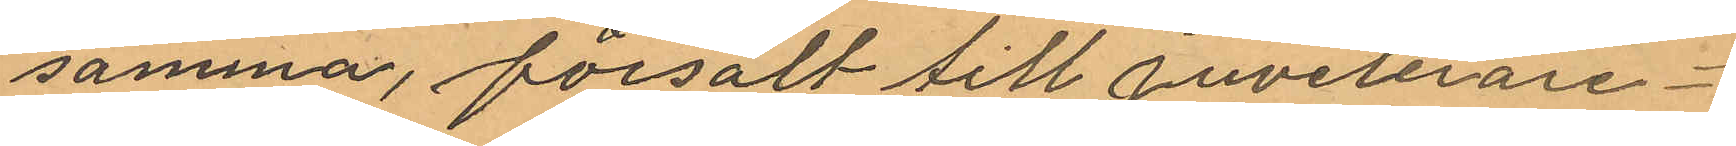samma, försålt till juvelerare¬
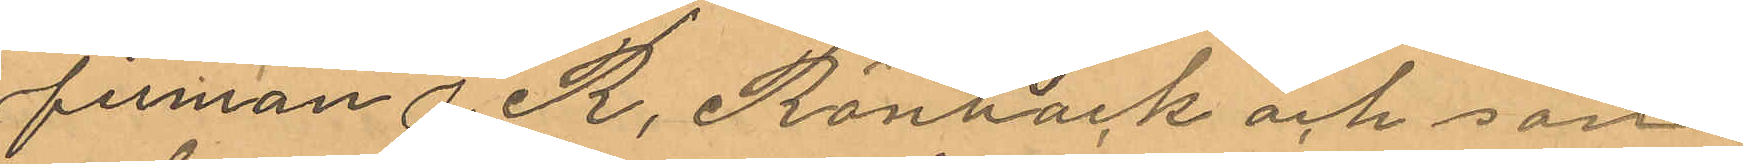firman i R. Rönbäck och son
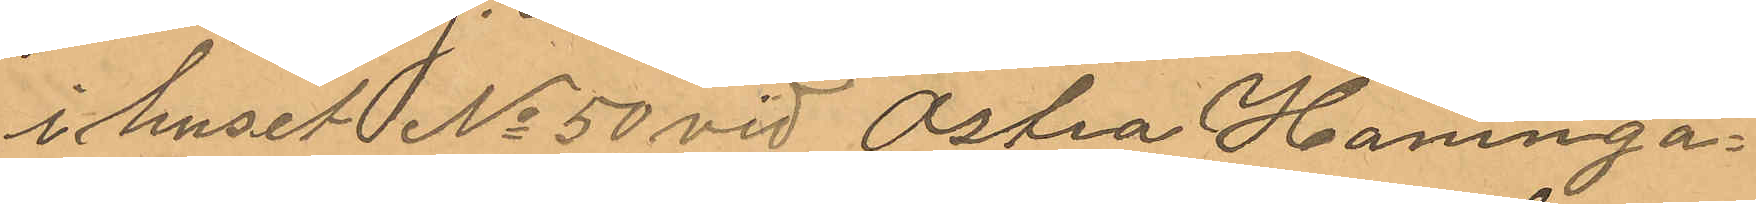i huset  No 50 vid Östra Hamnga¬
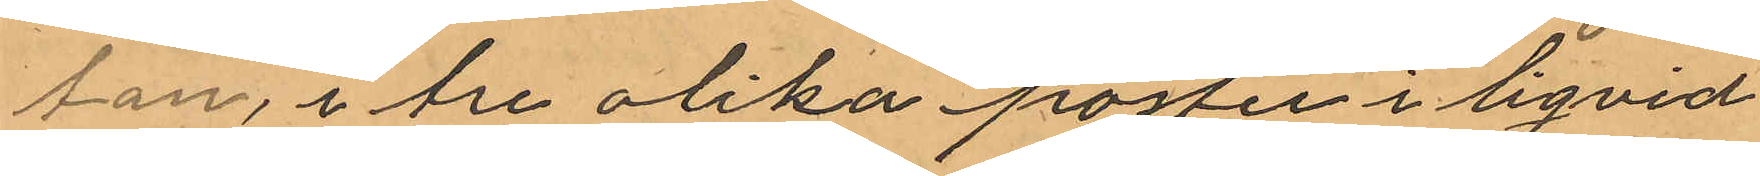tan, i tre olika poster i liqvid
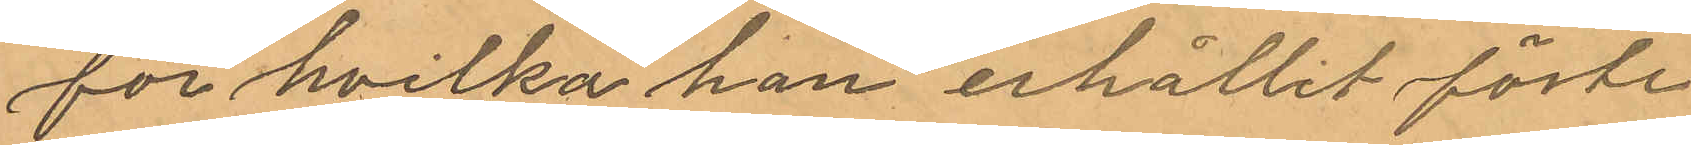för hvilka han erhållit förste
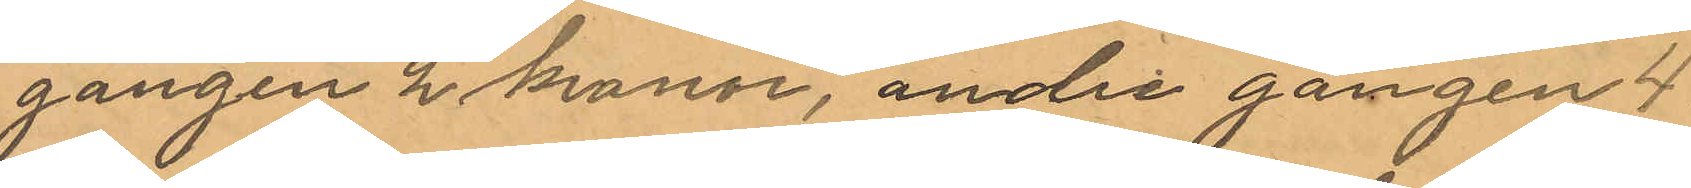gången 2 kronor, andra gången 4
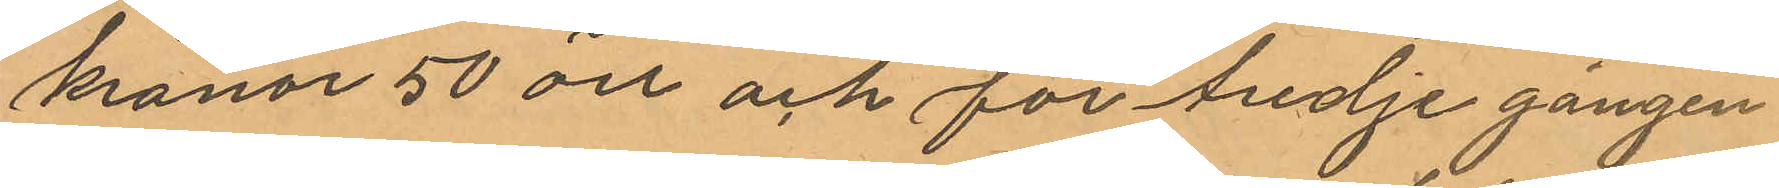kronor 50 öre och för tredje gången
